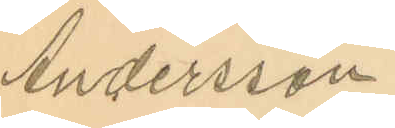Andersson
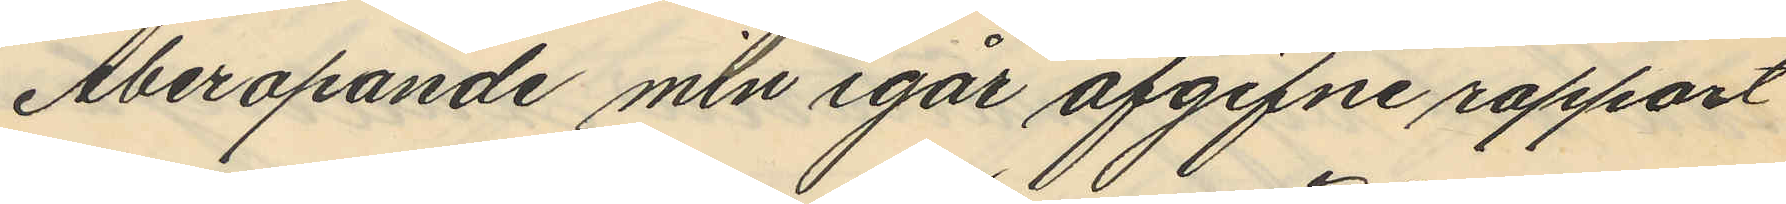Åberopande min igår afgifne rapport
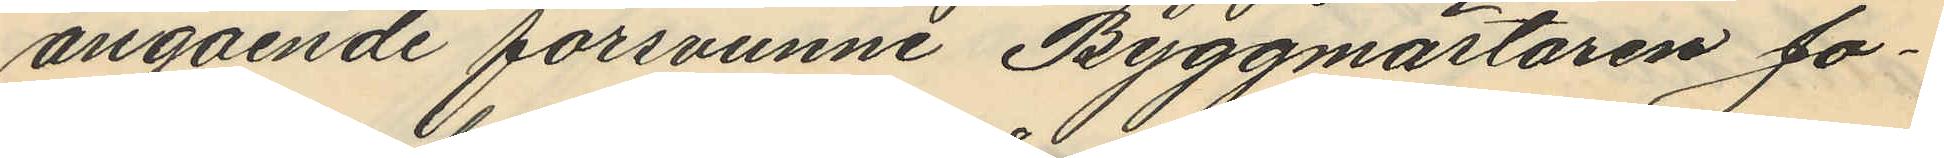angående försvunne Byggmästaren Jo¬
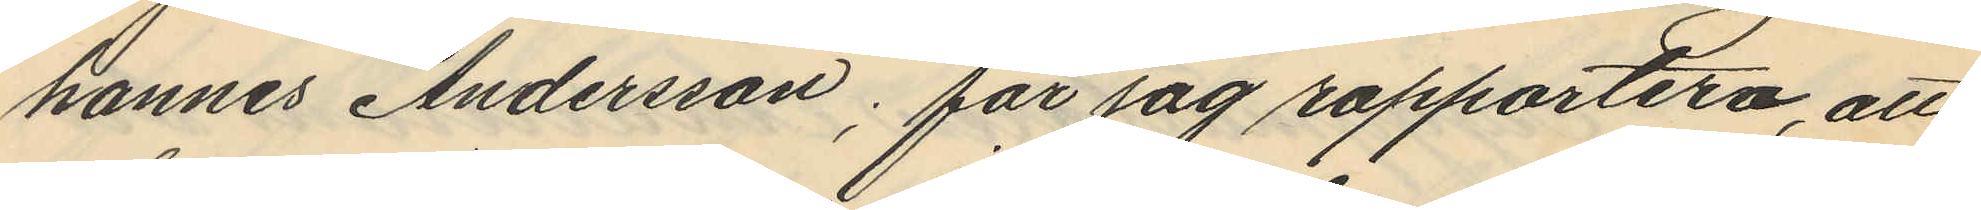hannes Andersson; får jag rapportera, att
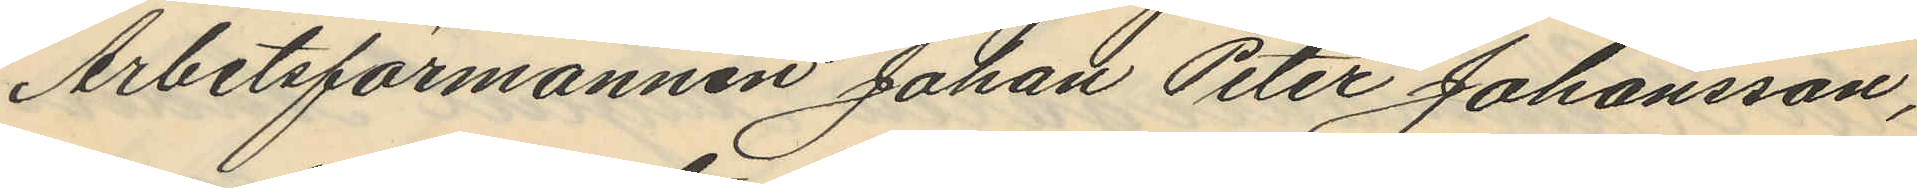Arbetsförmannen Johan Peter Johansson,
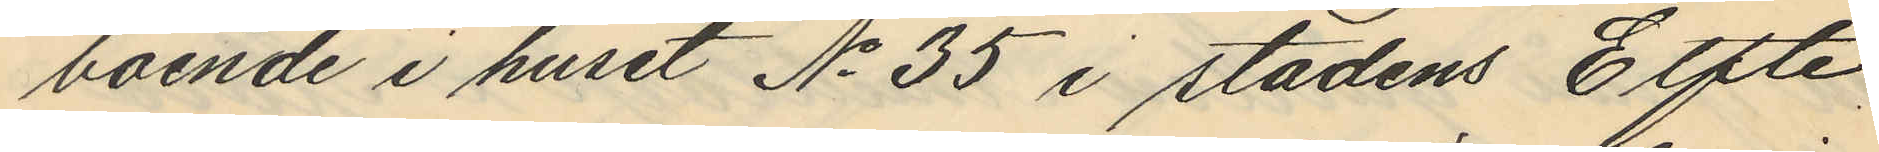boende i huset No 35 i stadens Elfte
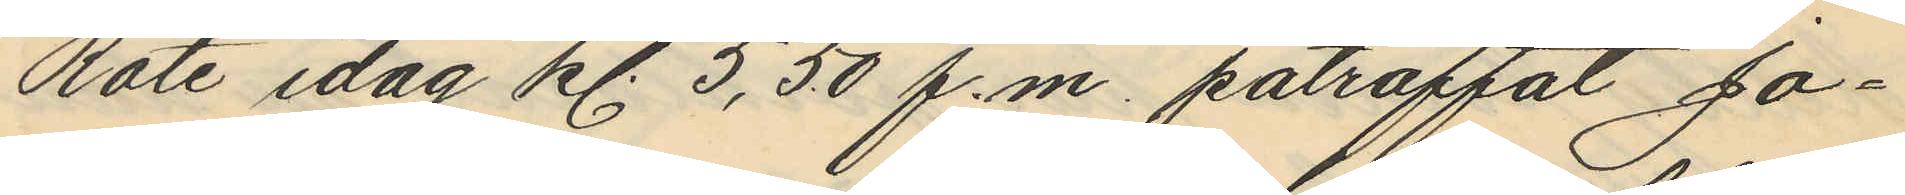Rote idag kl. 5,50 f.m. påträffat Jo¬
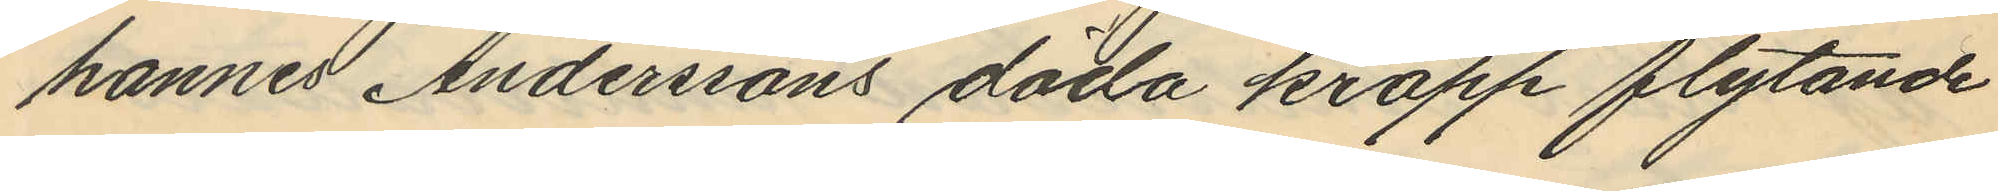hannes Anderssons döda kropp flytande
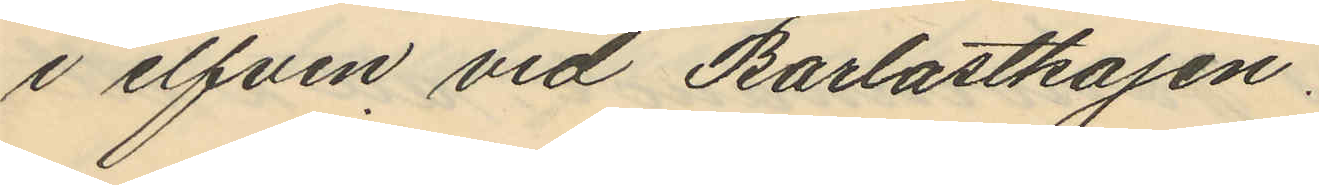i elfven vid Barlastkajen.
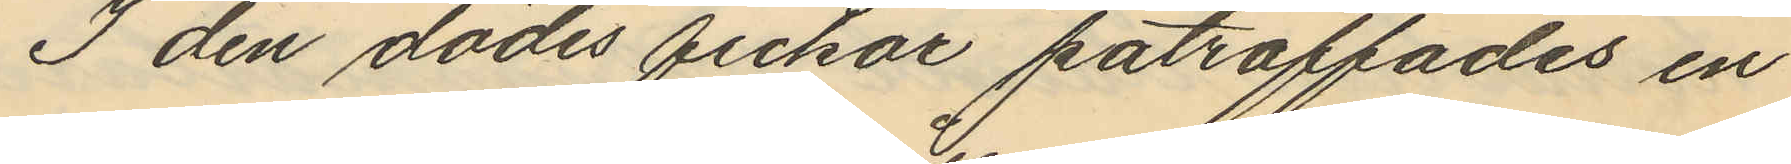I den dödes fickor påträffades en
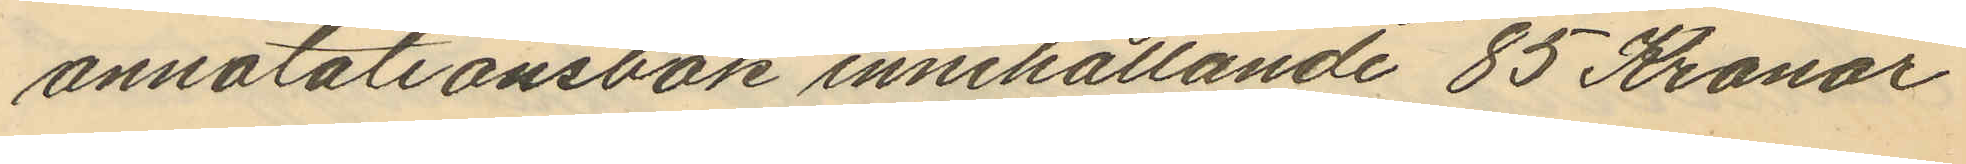annotationsbok innehållande 85 Kronor
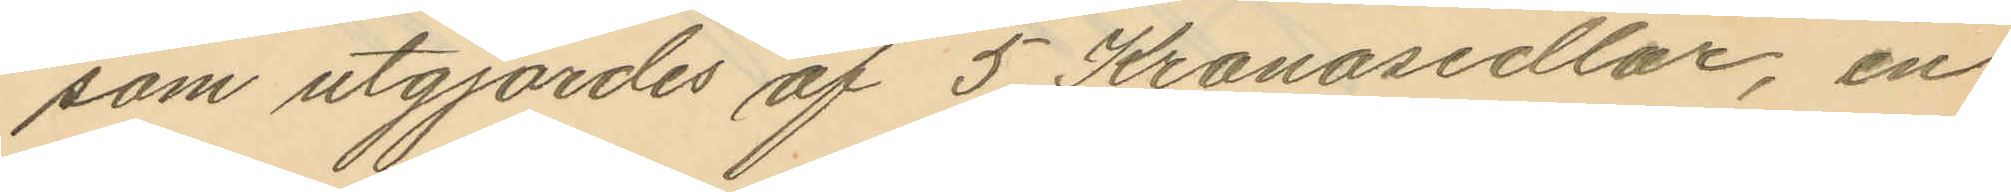som utgjordes af 5 Kronosedlar, en
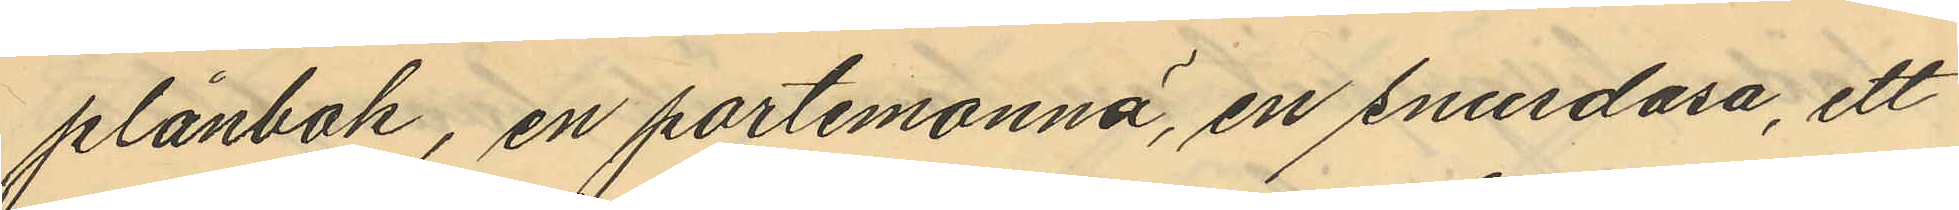plånbok, en portemonnä, en snusdosa, ett
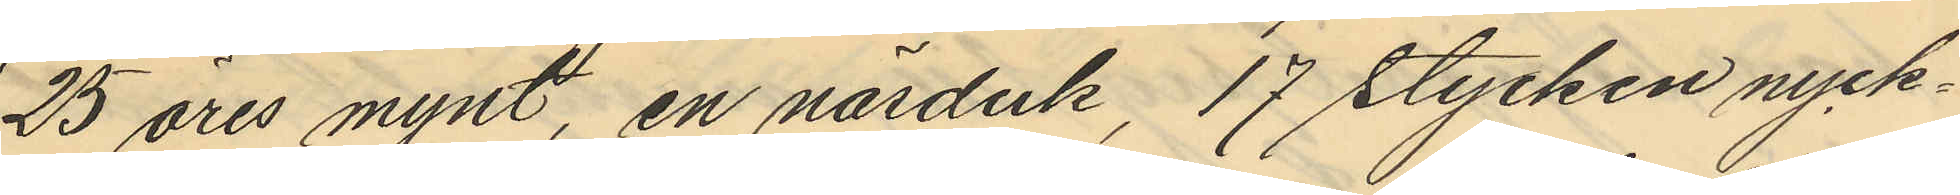25 öres mynt, en näsduk, 17 stycken nyck¬
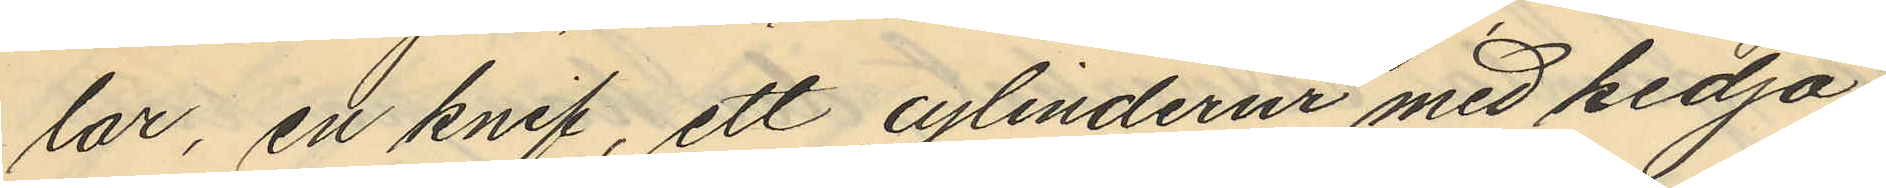lar, en knif, ett cylinderur med kedja,
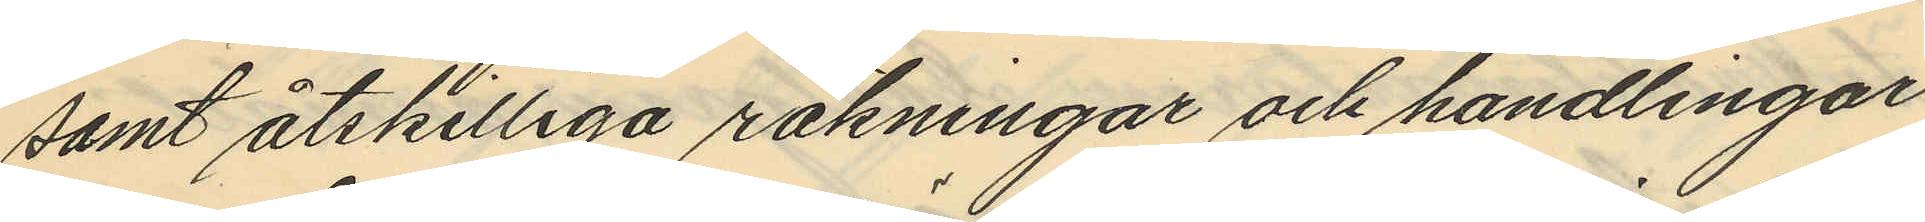samt åtskilliga räkningar och handlingar
